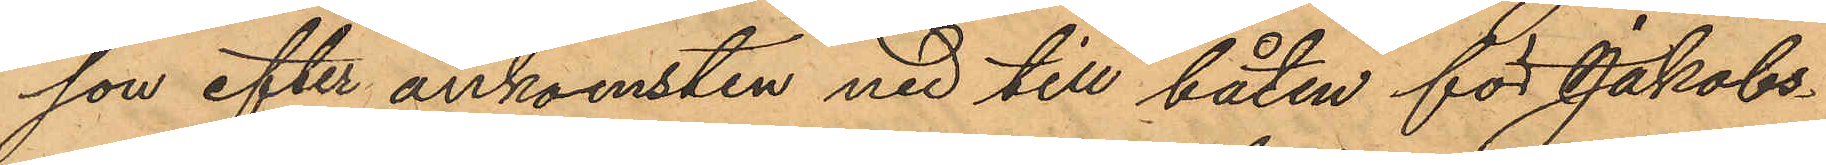son efter ankomsten ned till båten för Jakobs¬
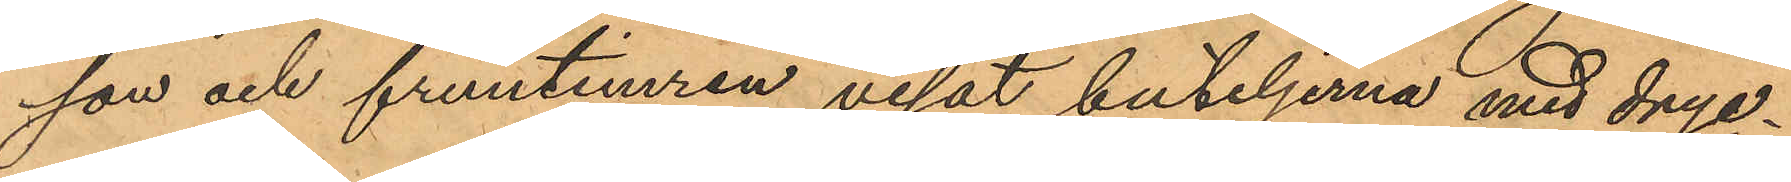son och fruntimren visat buteljerna med dryc¬
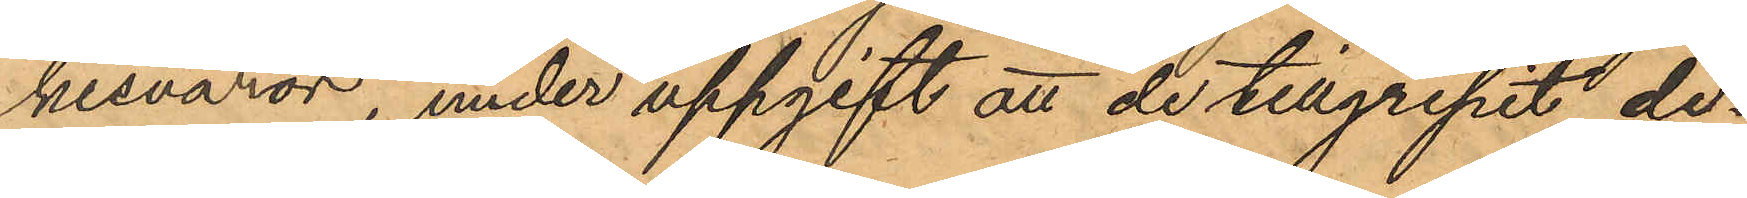kesvaror, under uppgift att de tillgripit de¬
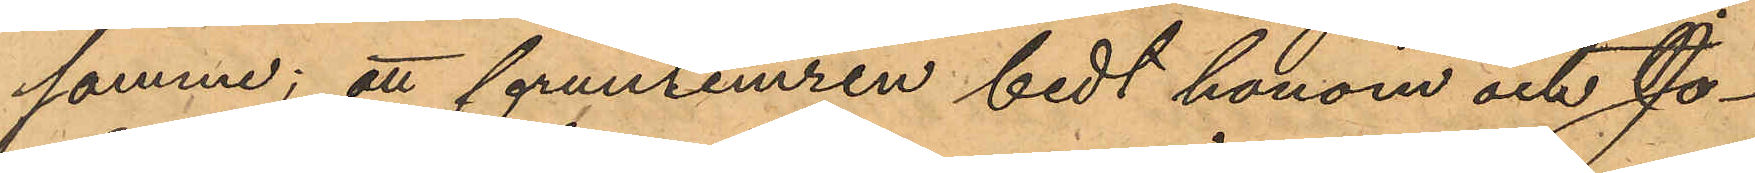samme; att fruntimren bedt honom och Jo¬
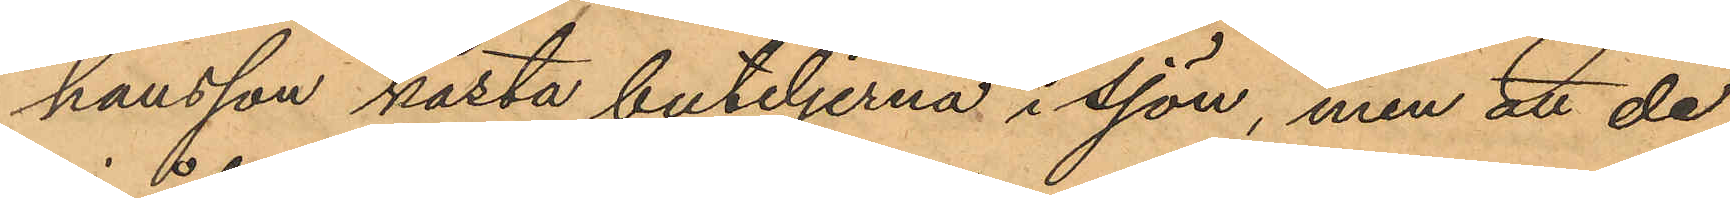hansson kasta buteljerna i sjön, men att de
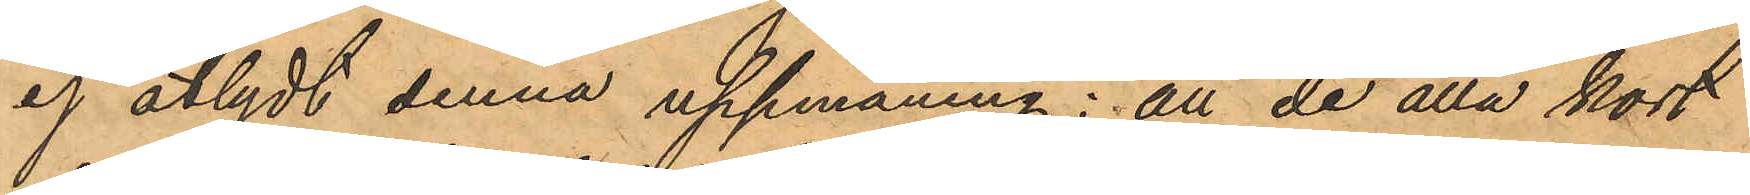ej åtlydt denna uppmaning; att de alla kort
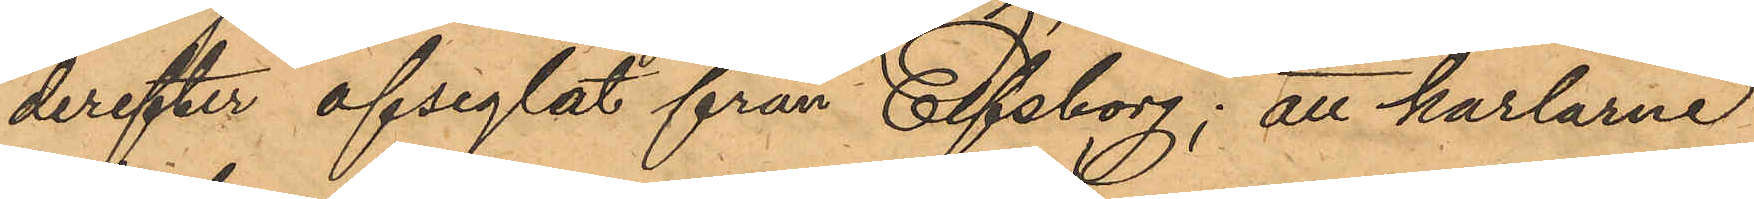derefter afseglat från Elfsborg; att karlarne
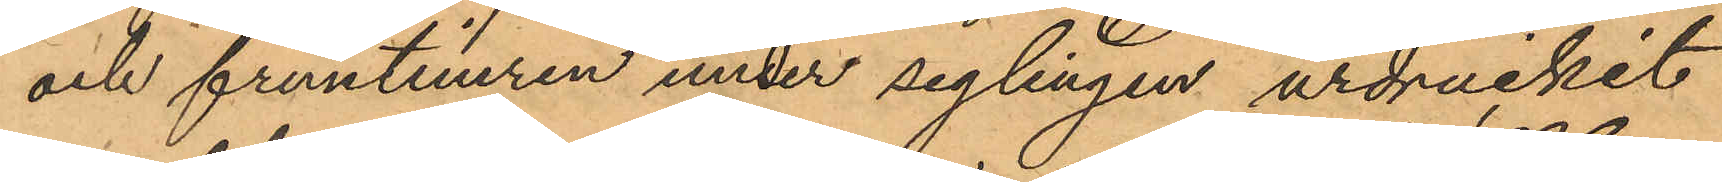och fruntimren under seglingen urdruckit
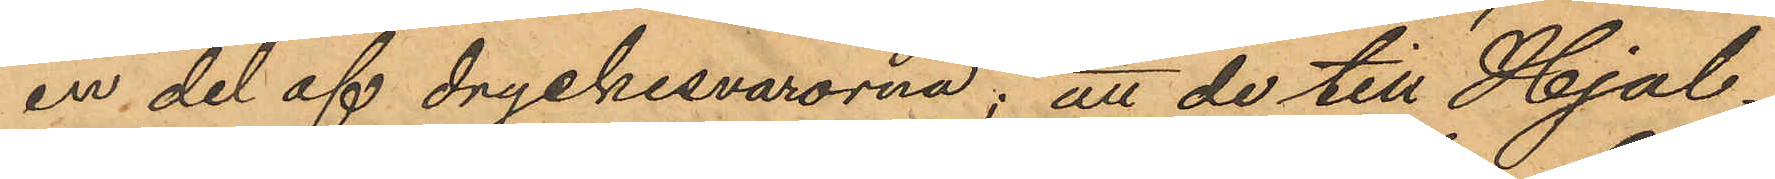en del af dryckesvarorna; att de till Hjal¬
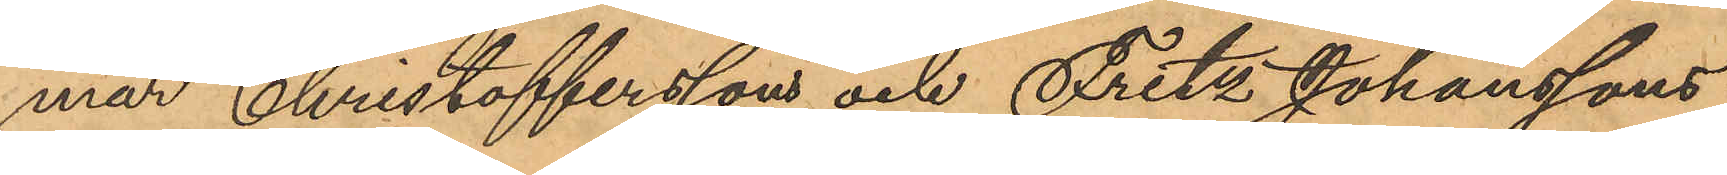mar Christoffersson och Fritz Johanssons
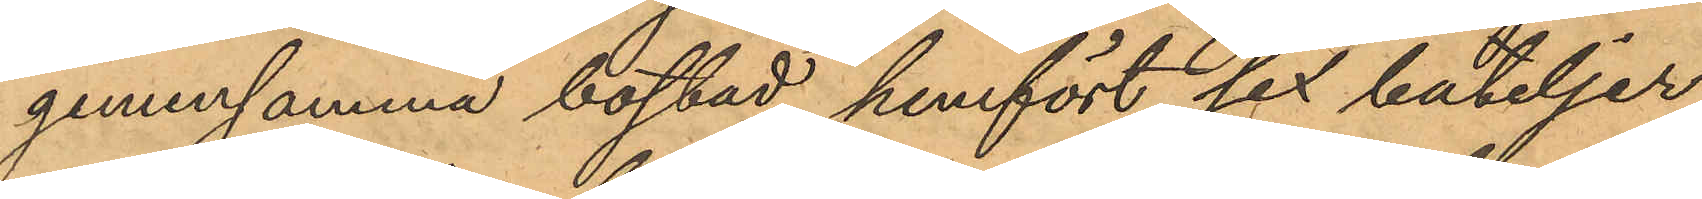gemensamma bostad hemfört sex buteljer
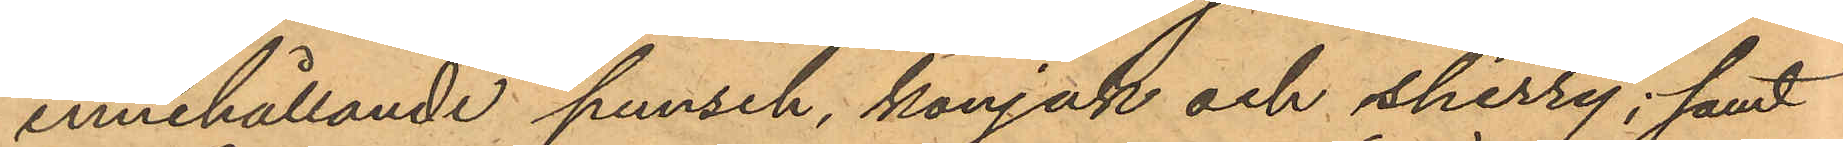innehållande punsch, konjak och sherry; samt
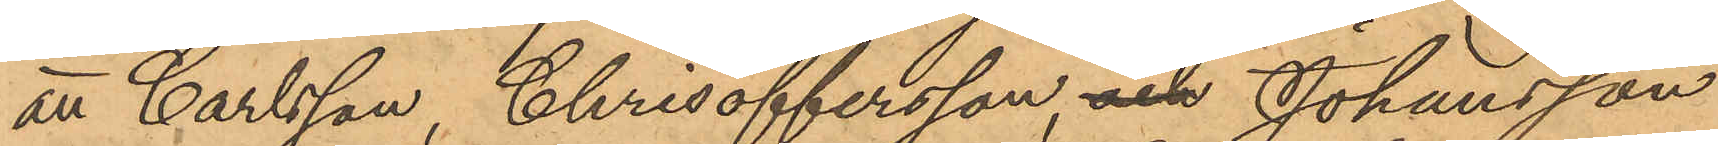att Carlsson, Chrisoffersson, och Johansson
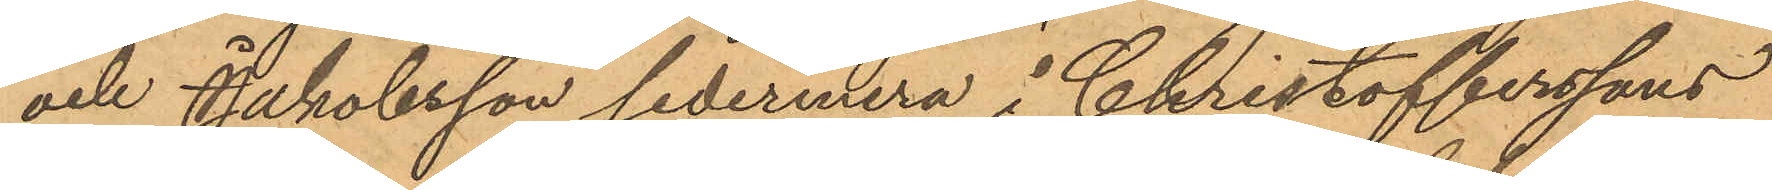och Jakobsson sedermera i Christofferssons
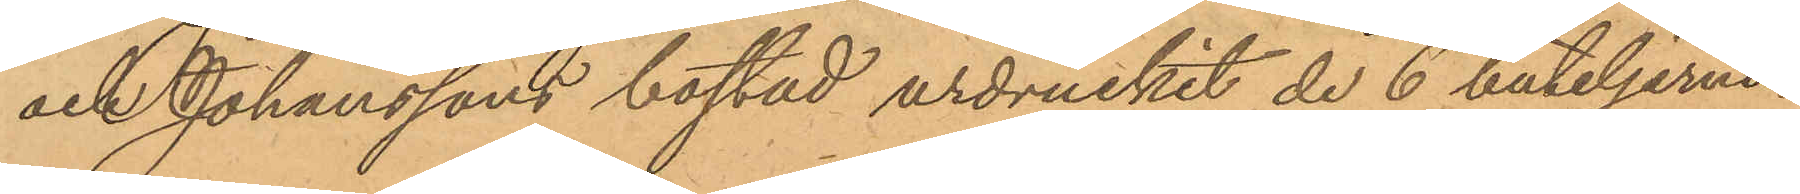och Johanssons bostad urdruckit de 6 buteljerna
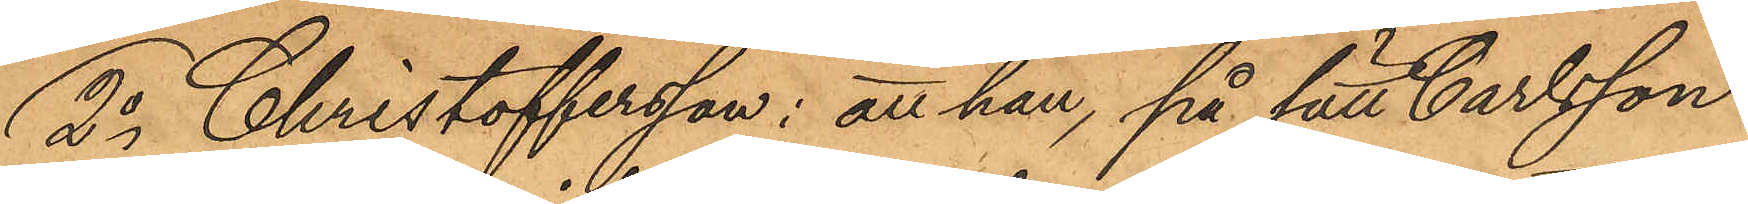2o Christoffersson: att han, på sätt Carlsson
